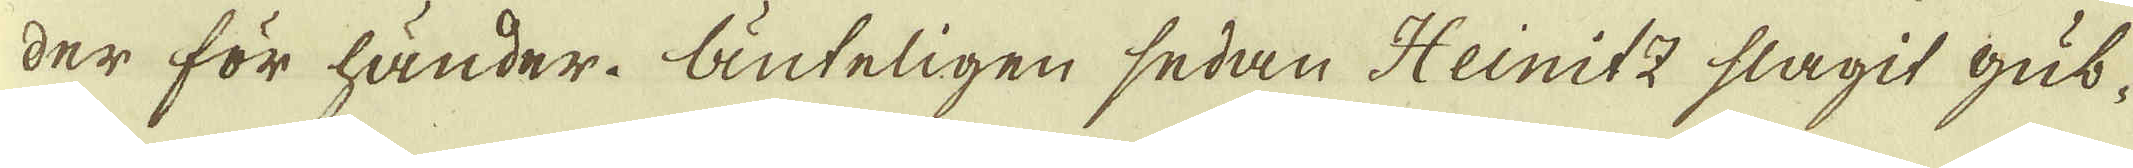der för händer. Änteligen sedan Heinitz slagit gub-
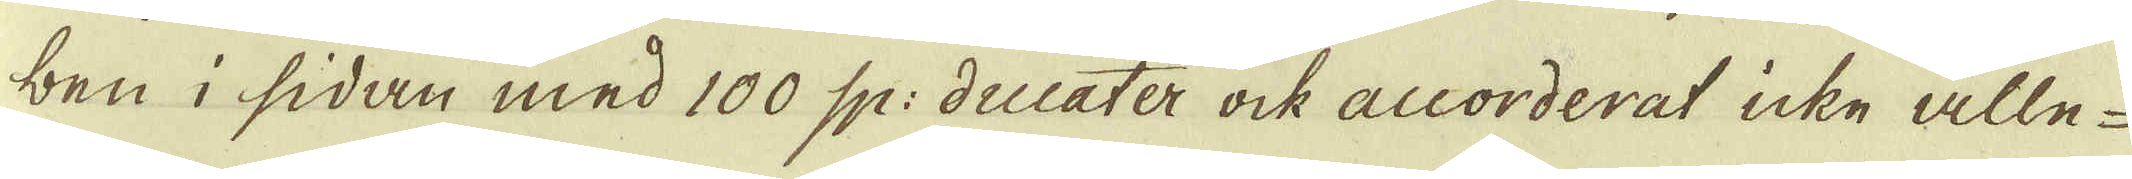ben i sidan med 100 sp: ducater ock accorderat icke alle-
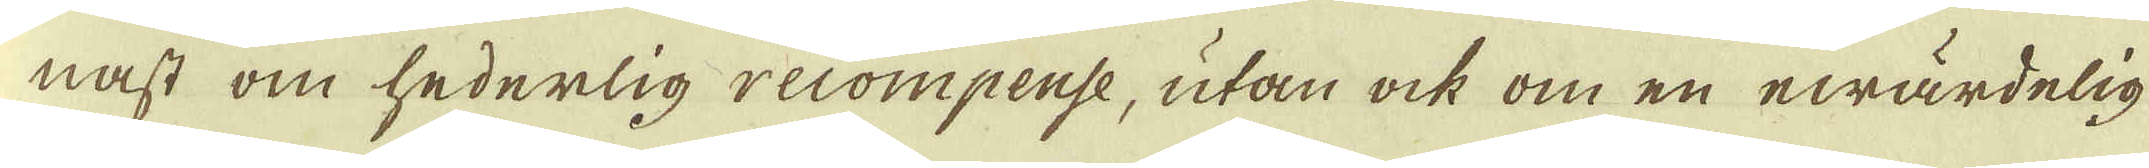nast om hederlig recompense, utan ock om en ewärdelig-
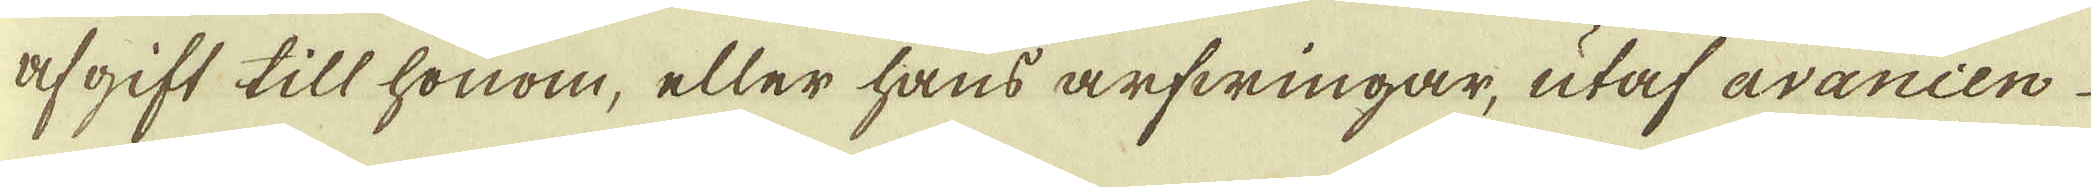afgift till honom, eller hans arfwingar, utaf avancen
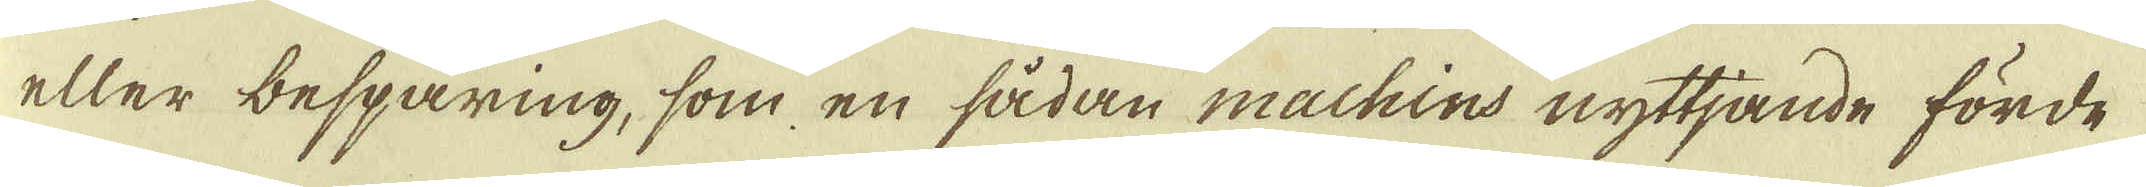eller besparing, som en sådan machins nyttjande förde
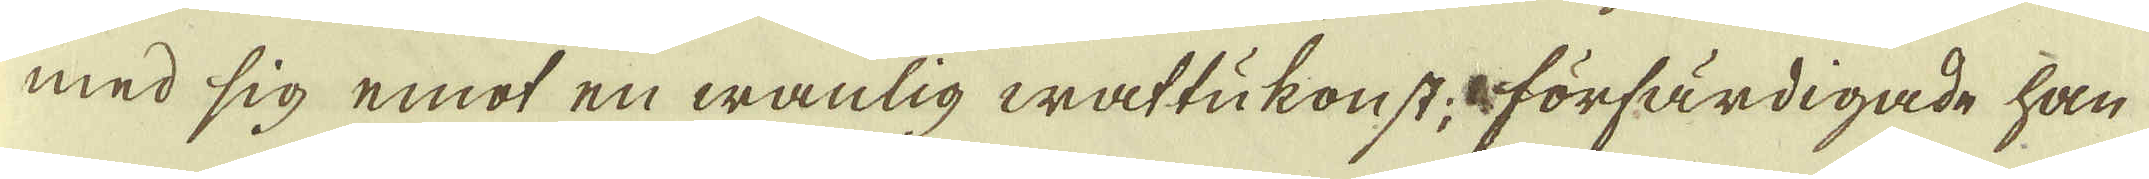med sig emot en wanlig wattukonst, förfärdigade han
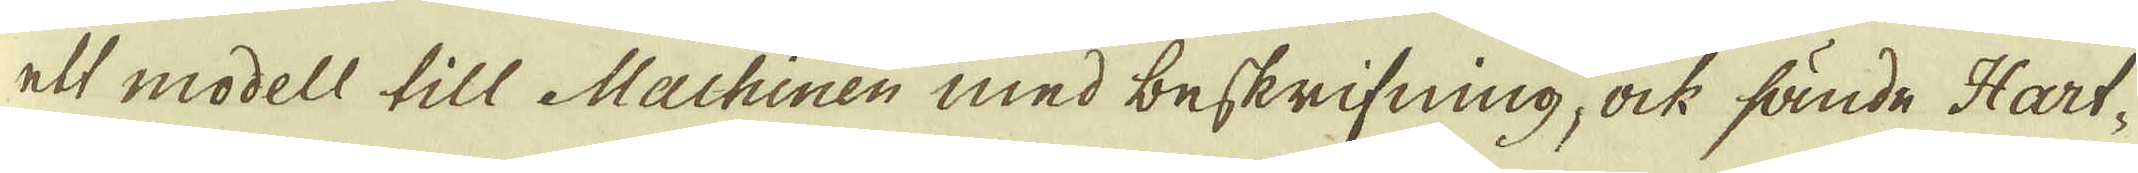ett modell till Machinen med beskrifning, ock sände Hart-
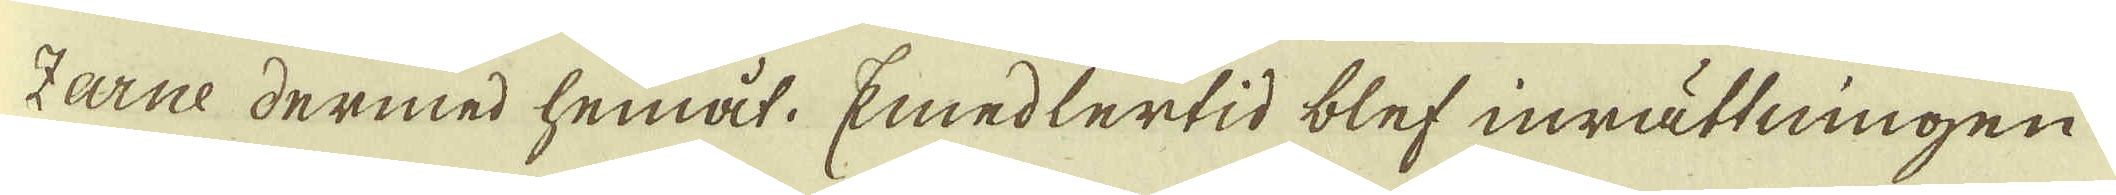Zarne dermed hemåt. Emedlertid blef inrättningen
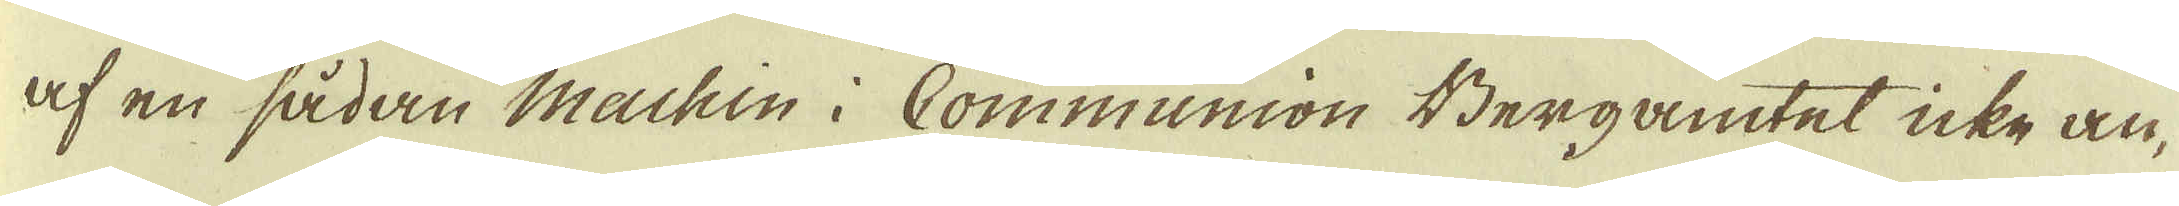af en sådan Machin i Communion Bergamtet icke an-
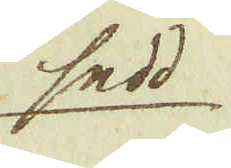sedd
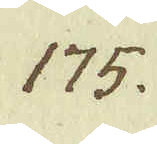175.
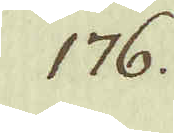176.
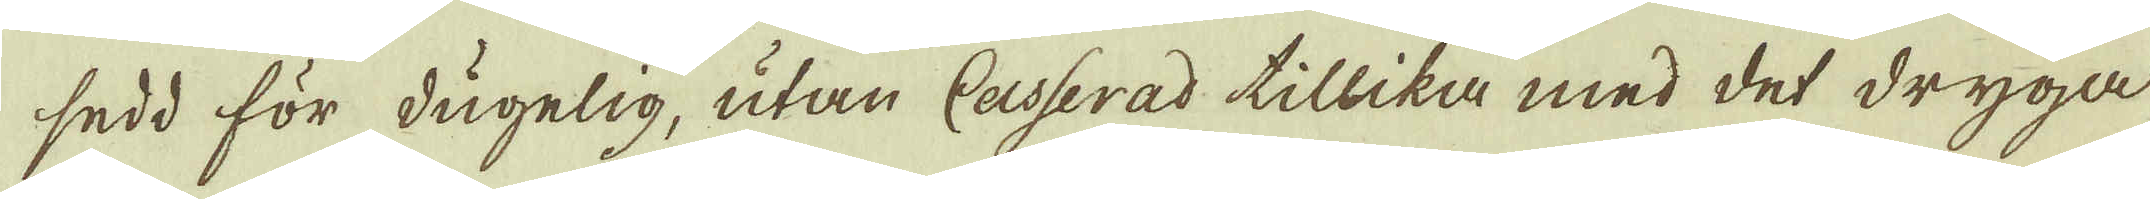sedd för dugelig, utan Casserad tillika med det dryga
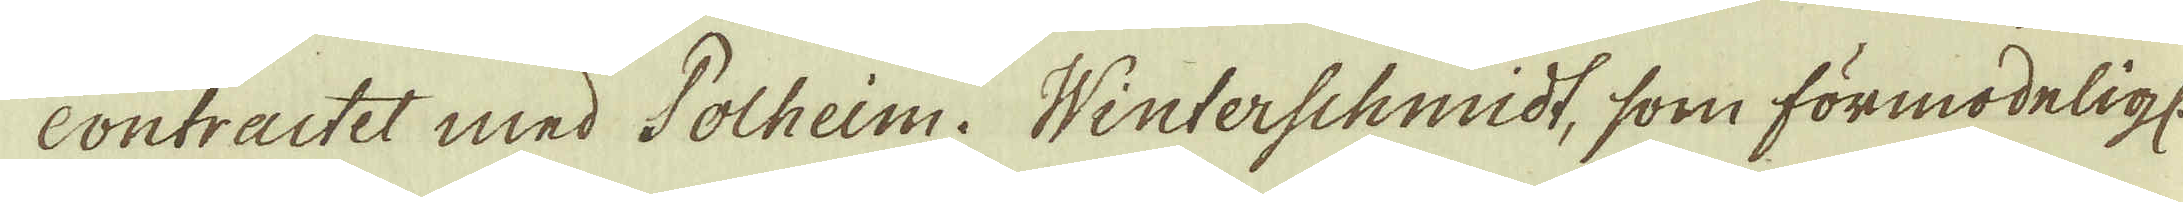contractet med Polheim. Winterschmidt, som förmodeligt.
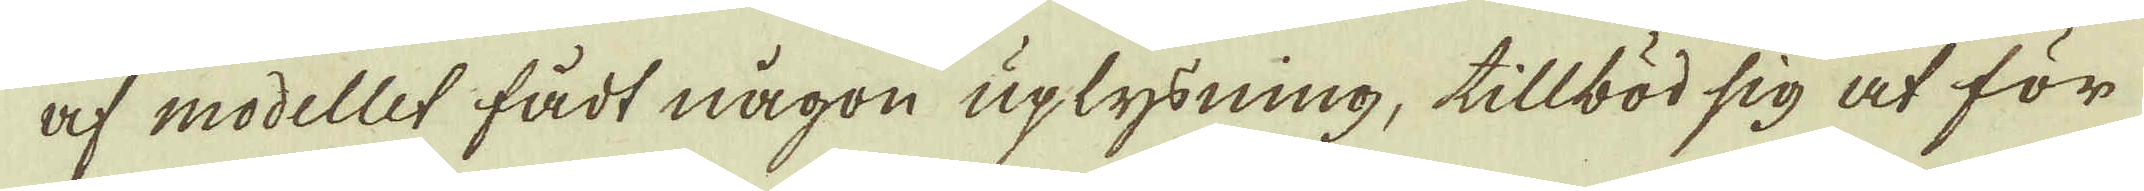af modellet fådt någon uplysning, tillböd sig at för
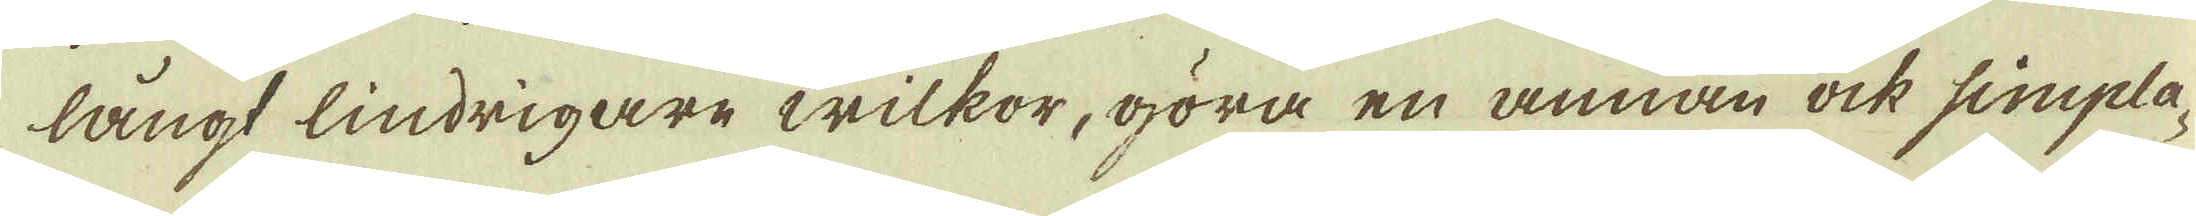långt lindrigare wilkor, göra en annan ock simpla-
